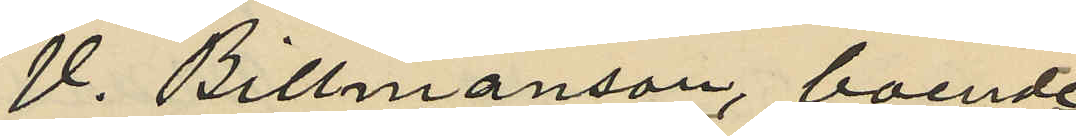V. Billmanson, boende
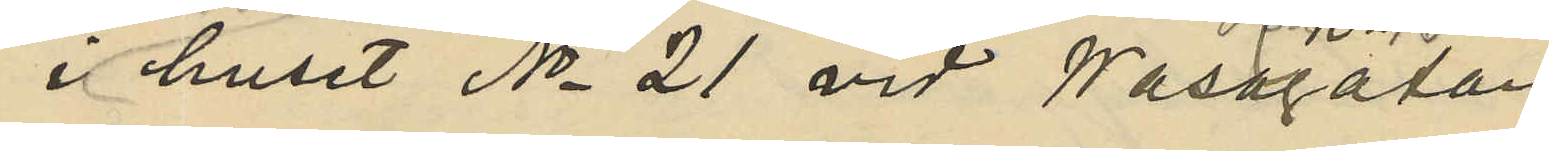i hörnhuset No 21 vid Wasagatan
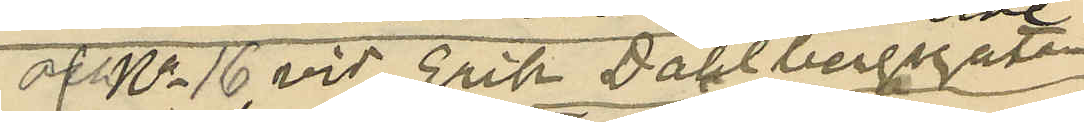af no 16 vid Erik Dahlbergsgatan
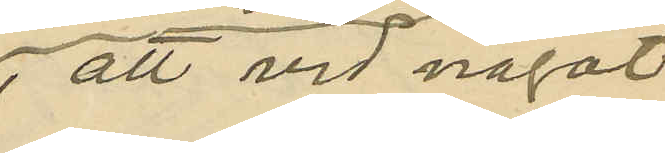, att vid något
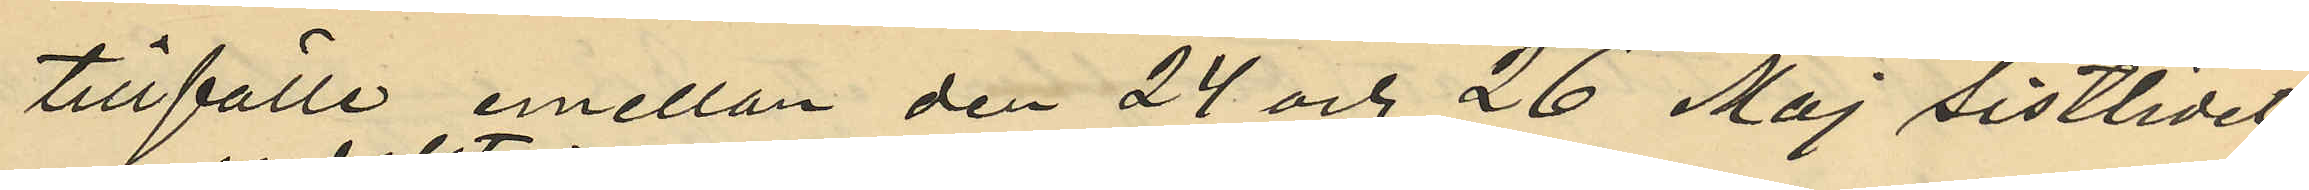tillfälle emellan den 24 och 26 Maj sistlidet
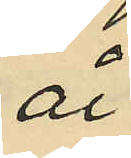år
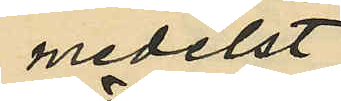medelst
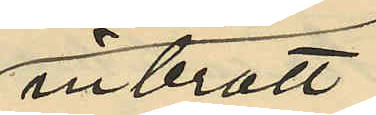inbrott
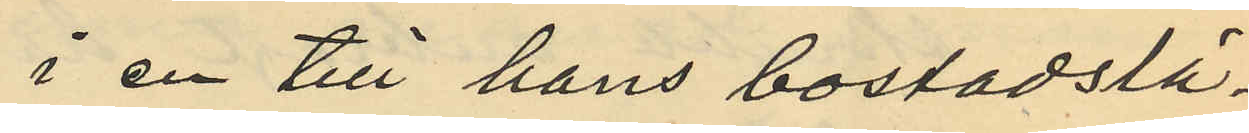i en till hans bostadslä¬
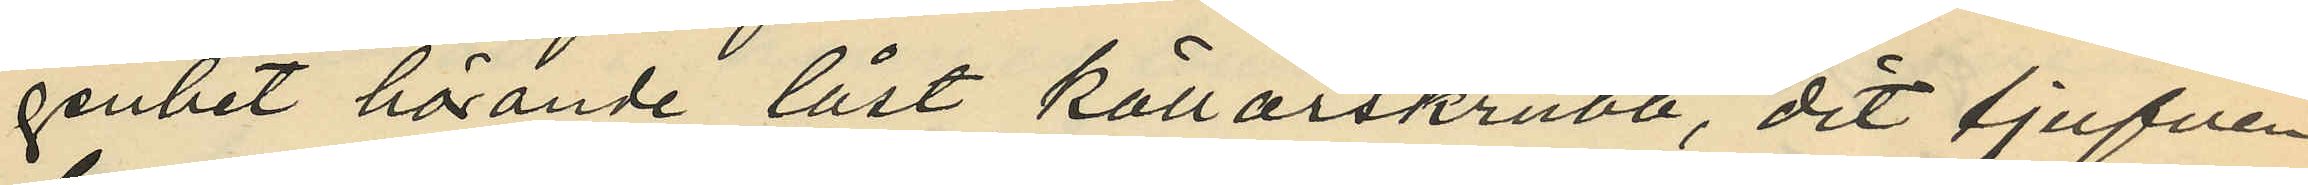genhet hörande låst källarskrubb, dit tjufven
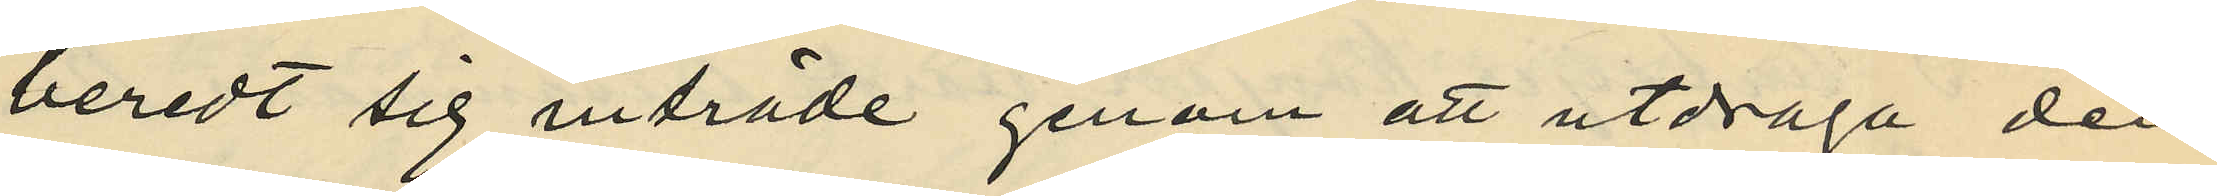beredt sig inträde genom att utdraga den
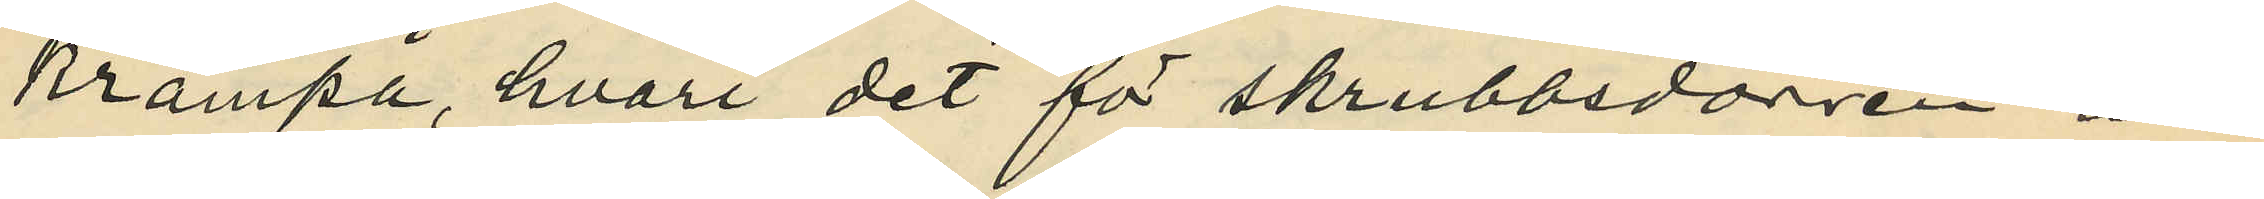krampa, hvari det för skrubbsdörren an¬
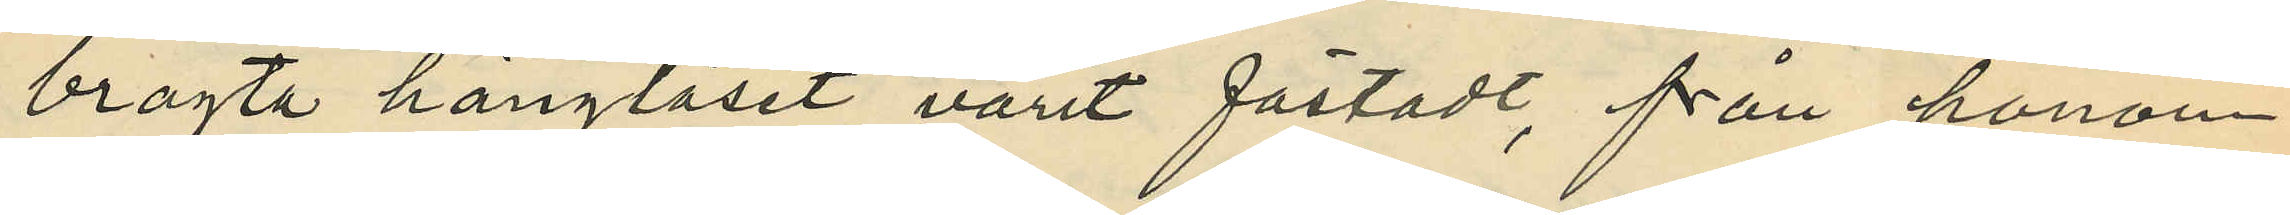bragta hänglåset varit fästadt, från honom
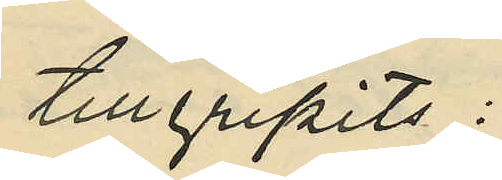tillgripits:
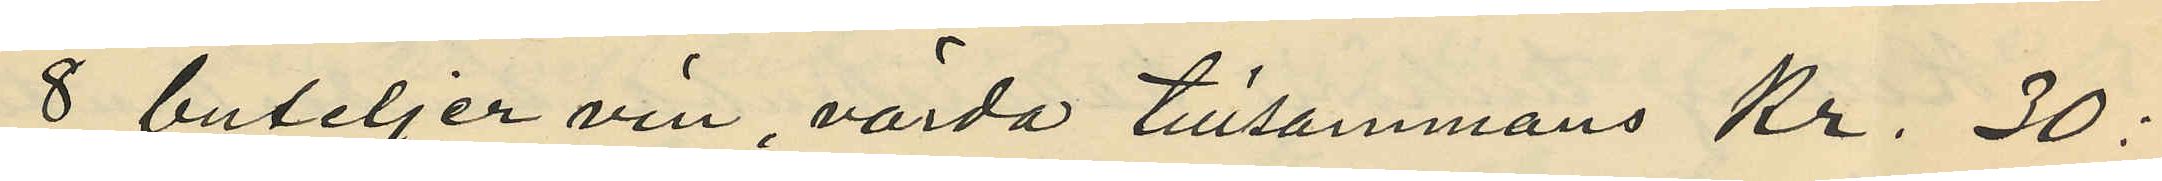8 buteljer vin, värda tillsammans Kr. 30:
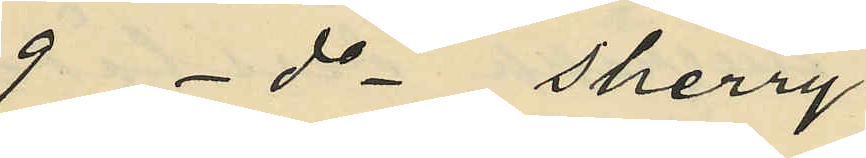9 - do - sherry
